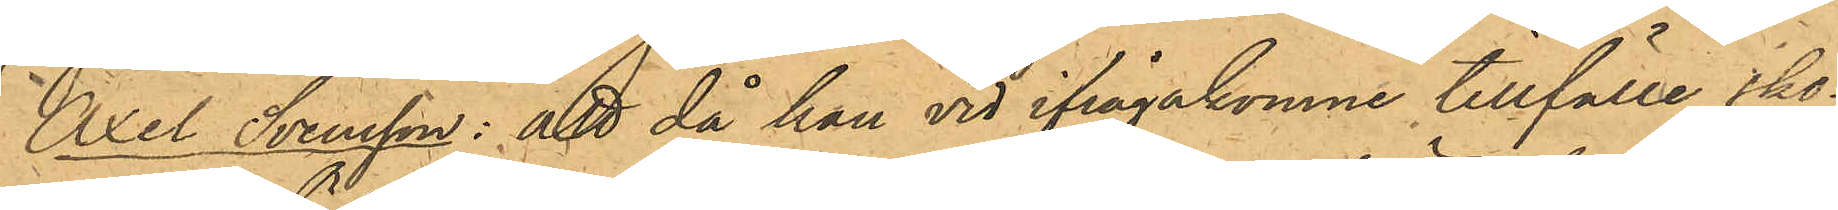Axel Svensson: att då han vid ifrågakomne tillfälle sko¬
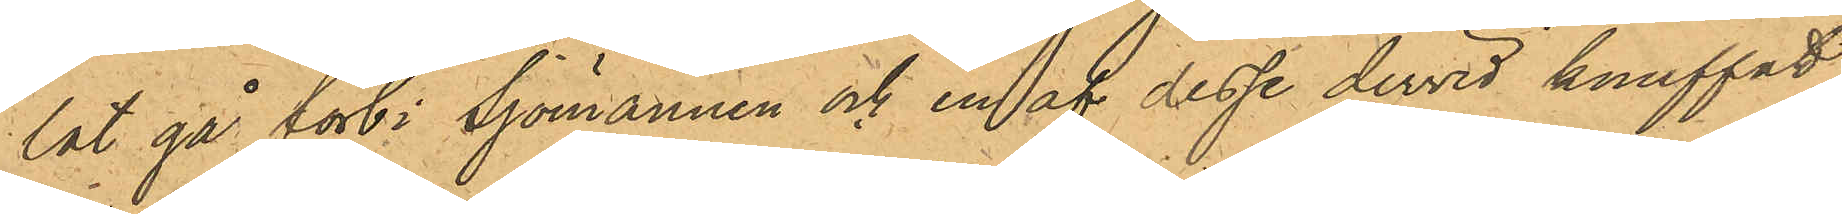lat gå förbi Sjömännen och en af desse dervid knuffat
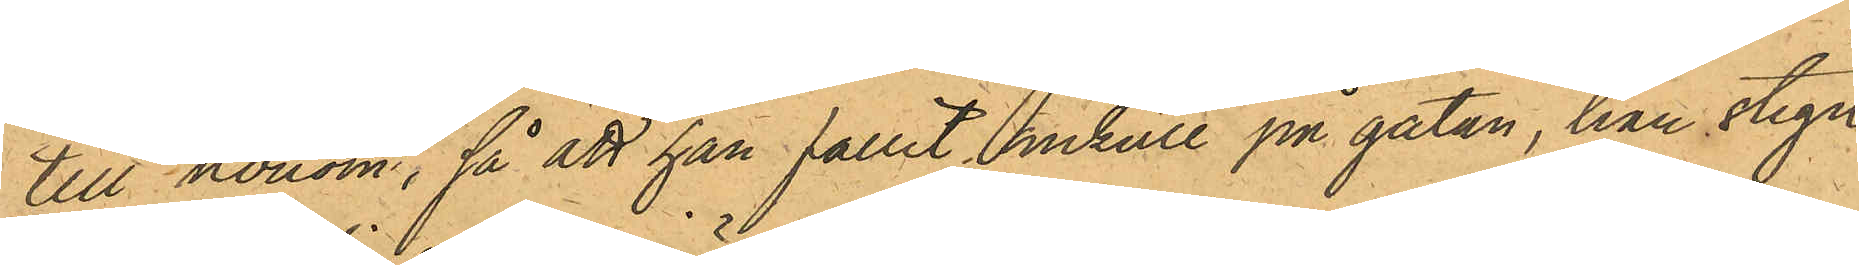till honom, så att han fallit omkull på gatan, han stigit
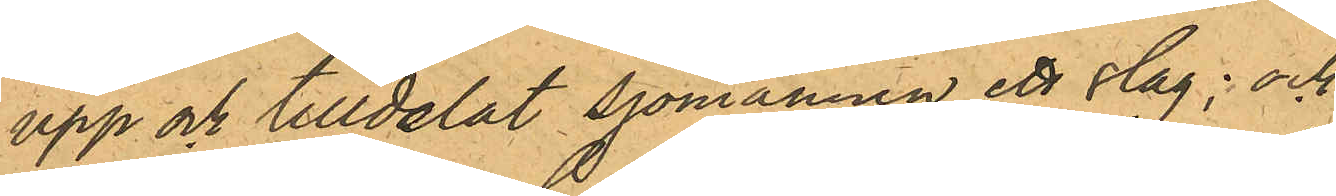upp och tilldelat sjömannen ett slag; och
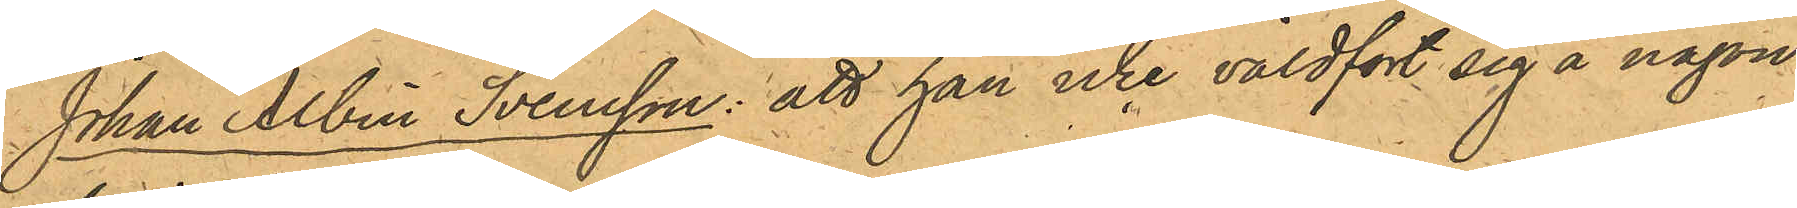Johan Albin Svensson: att han icke våldfört sig å någon
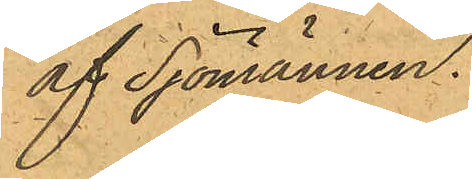af Sjömännen.
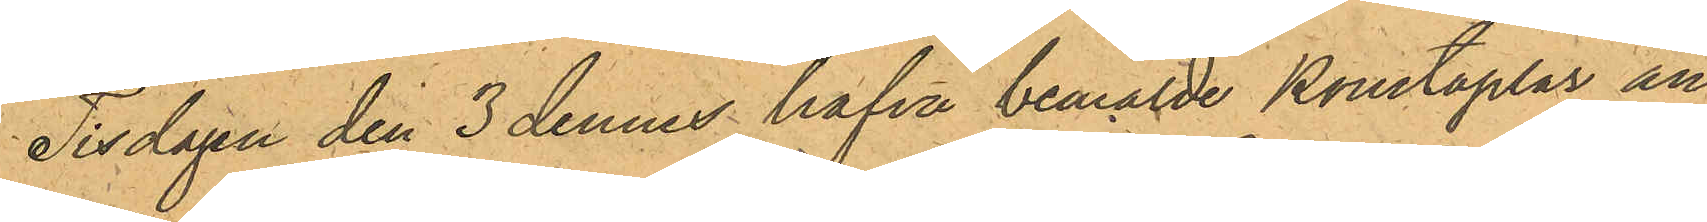Tisdagen den 3 dennes hafva bemälde Konstaplar an¬
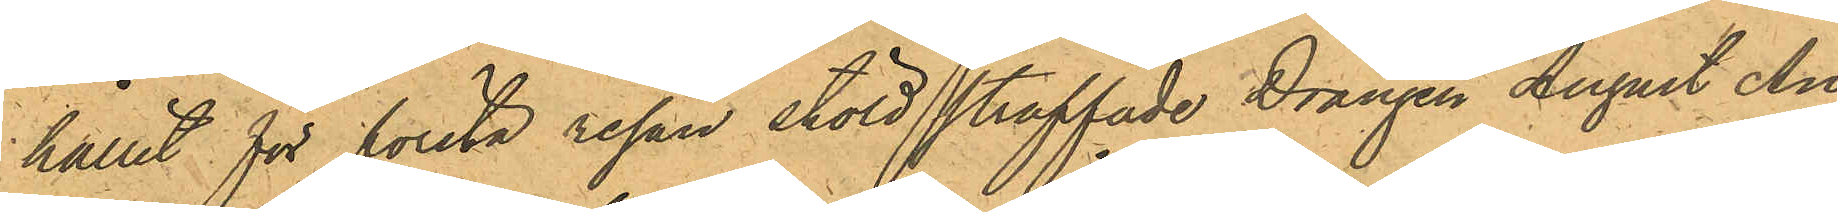hållit för första resan stöld straffade Drängen August An¬
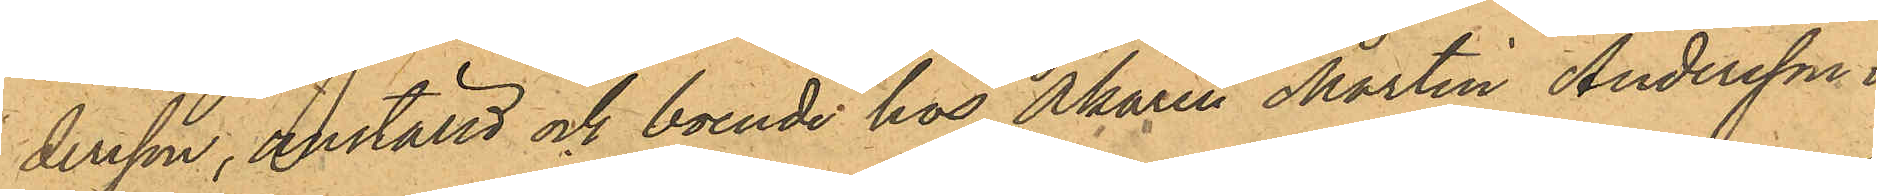dersson, anställd och boende hos Åkaren Martin Andersson i
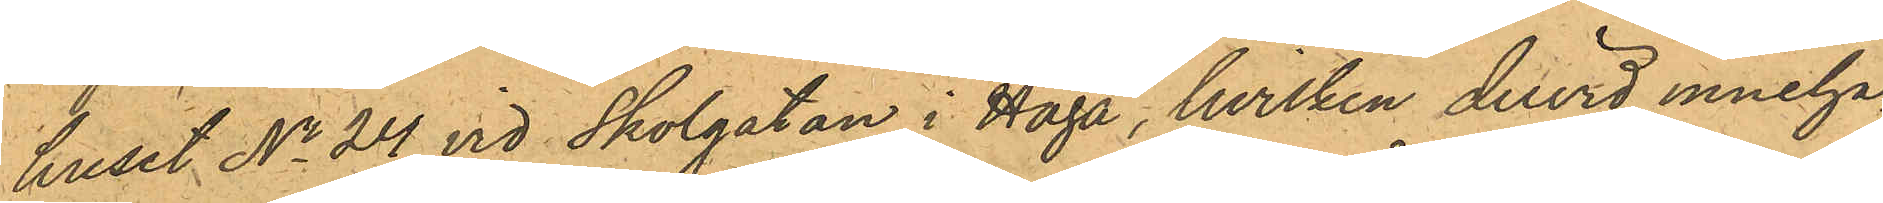huset No 24 vid Skolgatan i Haga, hvilken dervid inneha¬
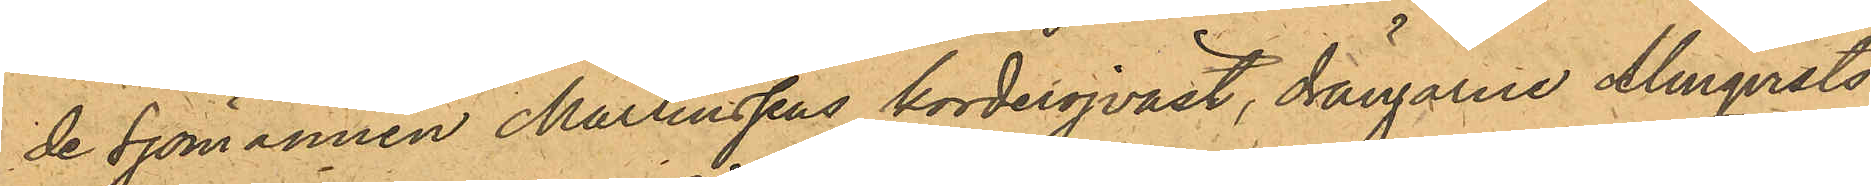de Sjömannen Martinssens korderojväst, drängarne Almqvists
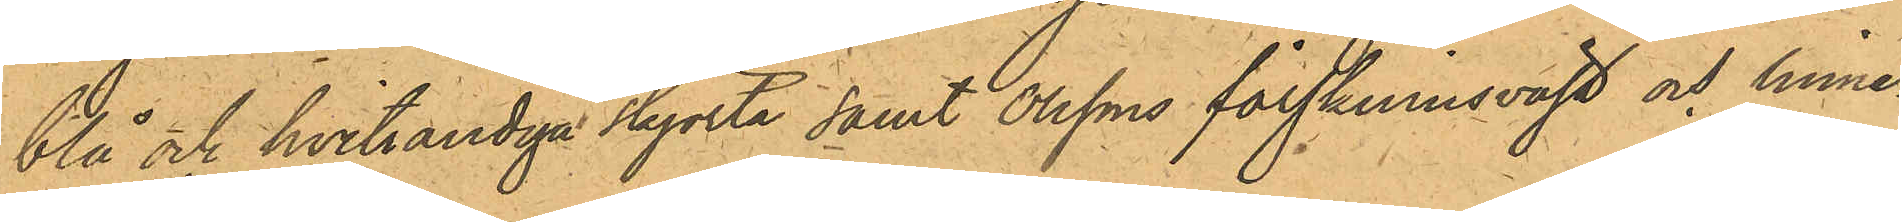blå och hvitrandiga skjorta samt Olssons fårskinnsväst och linne¬
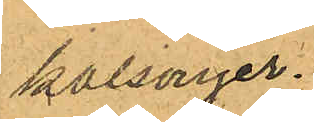kalsonger.
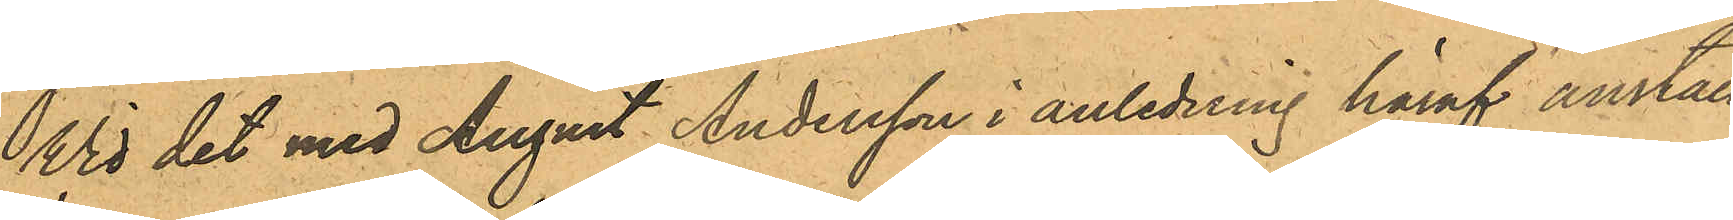Wid det med August Andersson i anledning häraf anställ¬
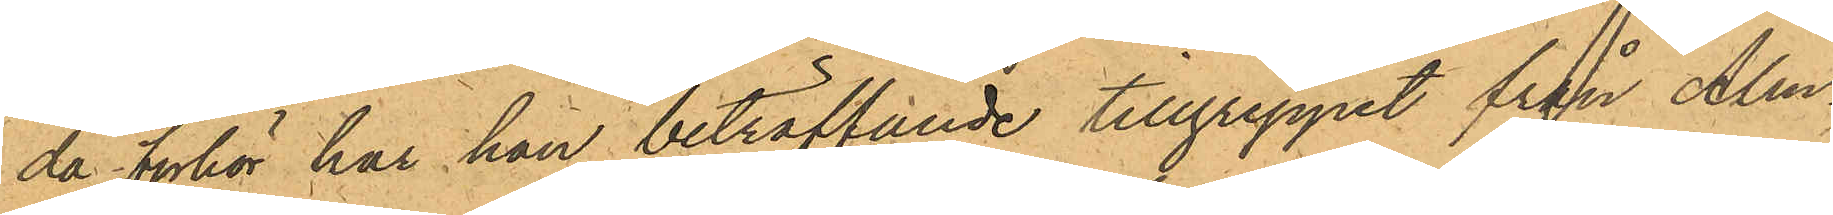da förhör har han beträffande tillgreppet från Alm¬
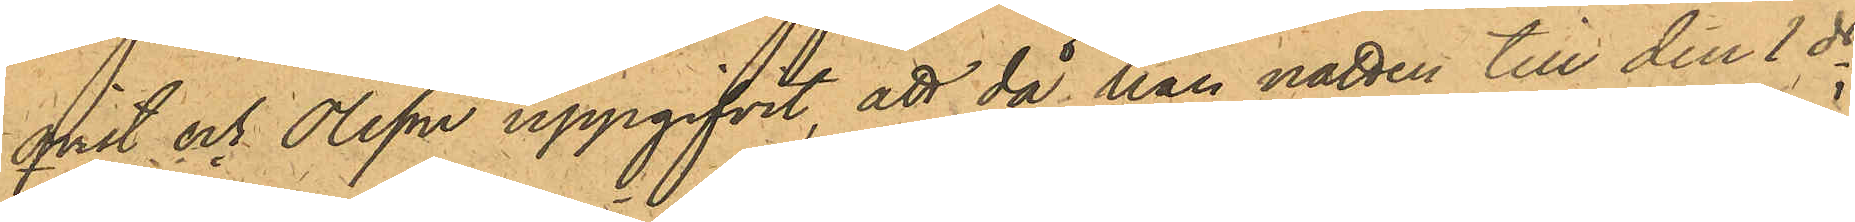qvist och Olsson uppgifvit, att då han natten till den 1 ds
